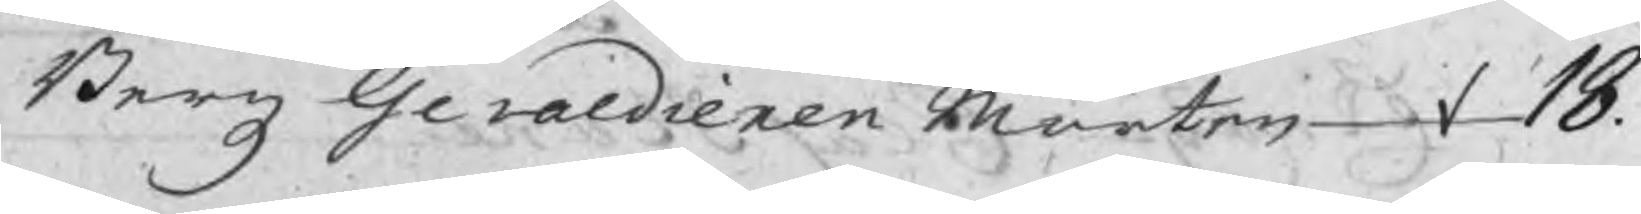Bergz Gevaldieren Mårten  18.
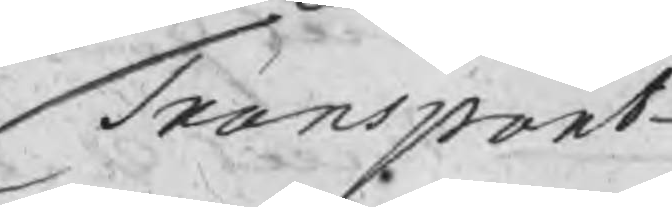Transport
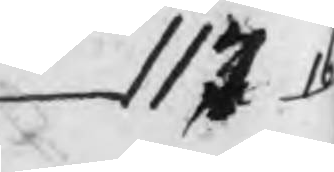117.16
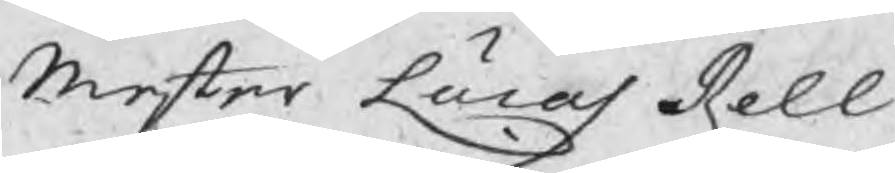Mester Lucas Rell
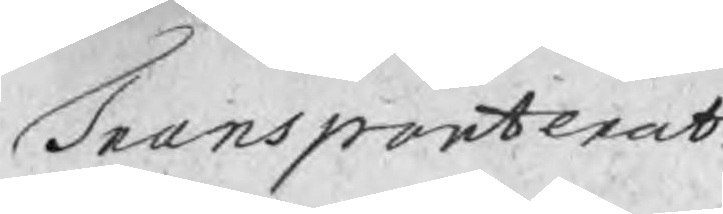Transporterat
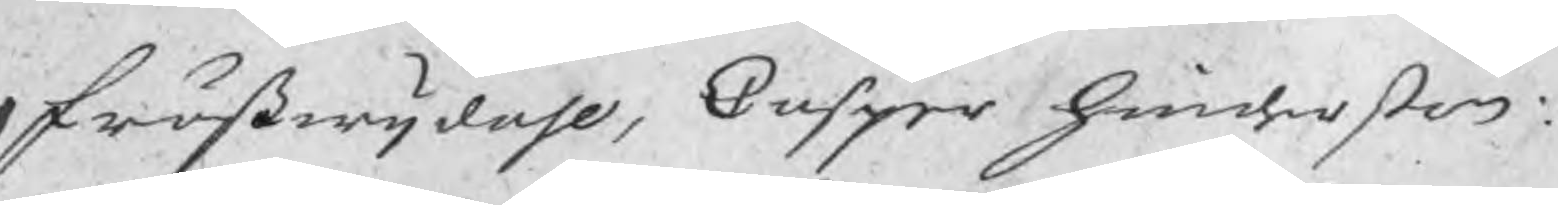Frößwijdahl, Casper Hinderßon
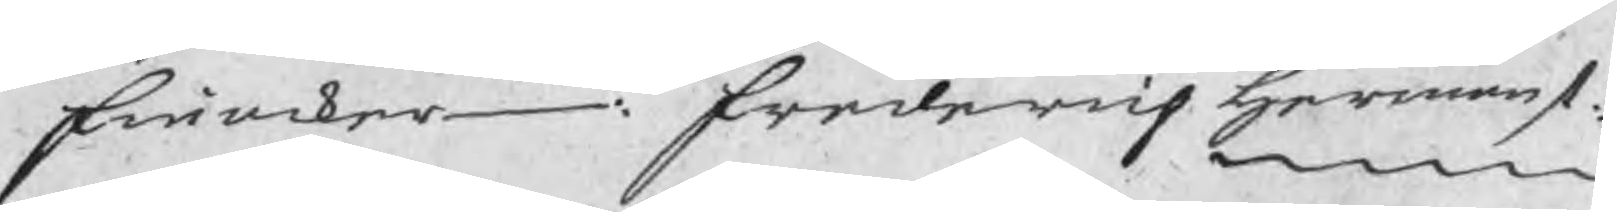Finacker: Fredrich Hermans.
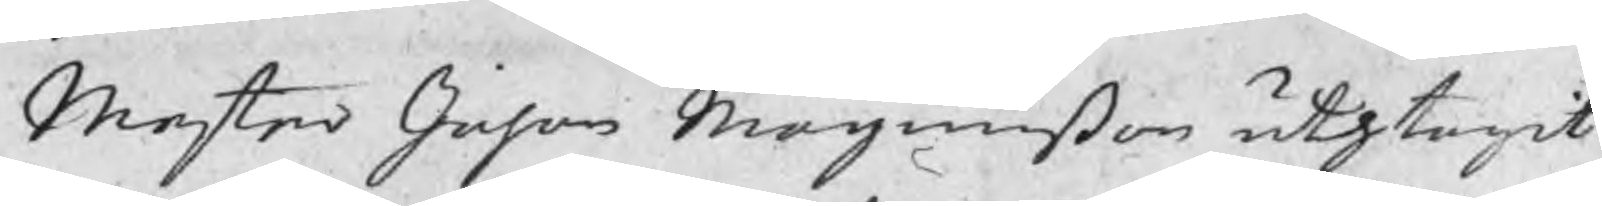Mester Johan Magnußon uthtagit
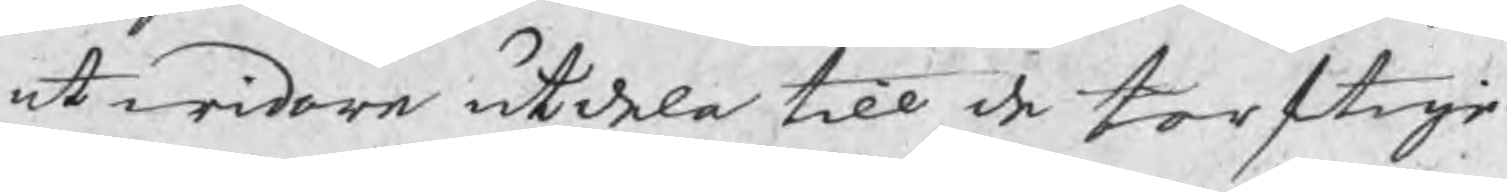at widare utdela till de torftige
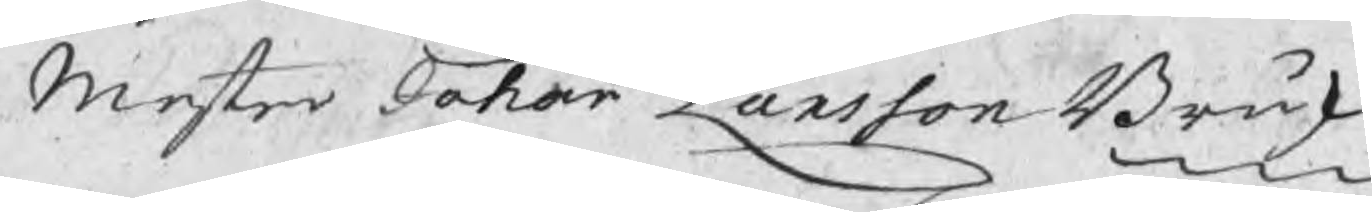Mester Johan Larsson Brusk
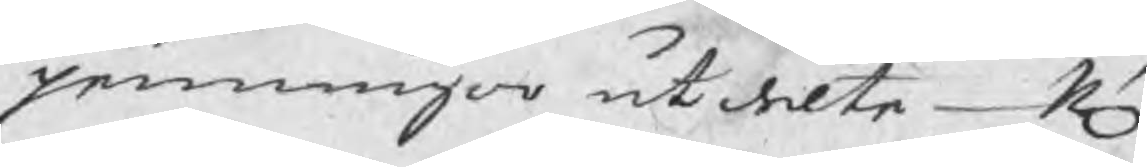penningar utdelte N.n
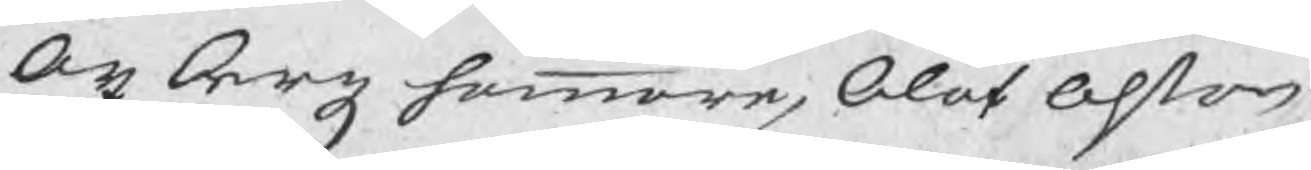Axbergz hammare, Olof Olßon
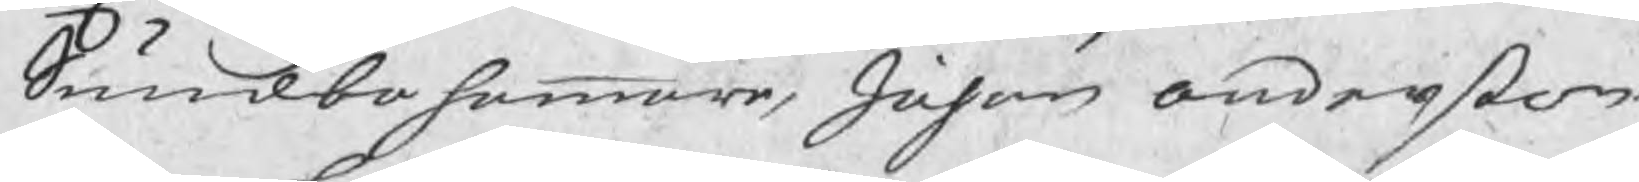Sundbo hammar, Johan Anderßon
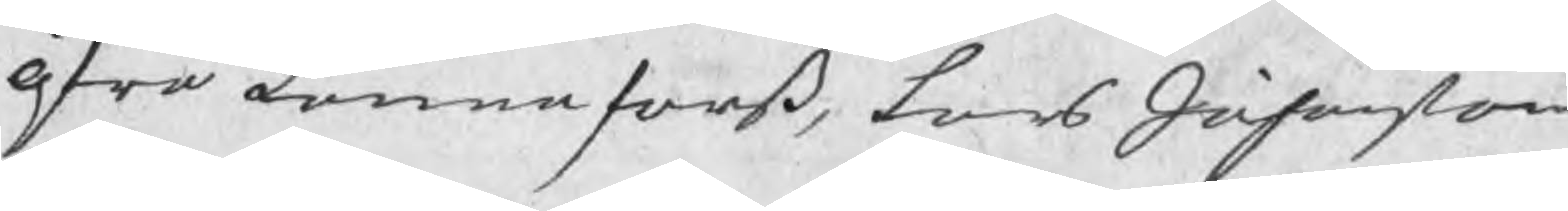Öfra Lannaforß, Lars Johanßon
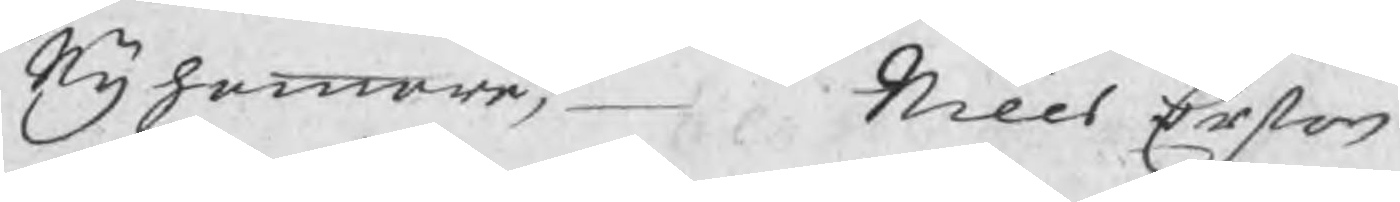Nyhammar,  Nills Erßon
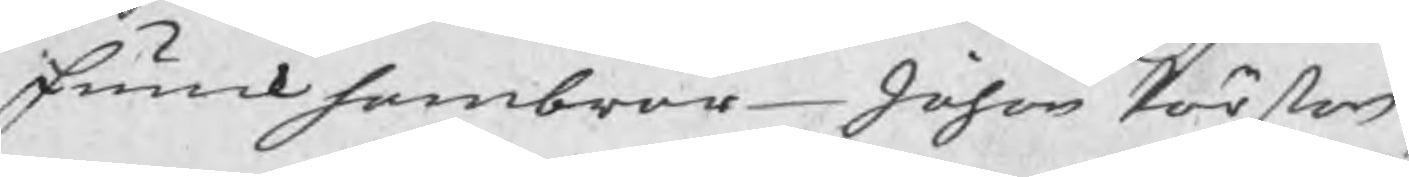Funckhambrar Johan Pärßon
